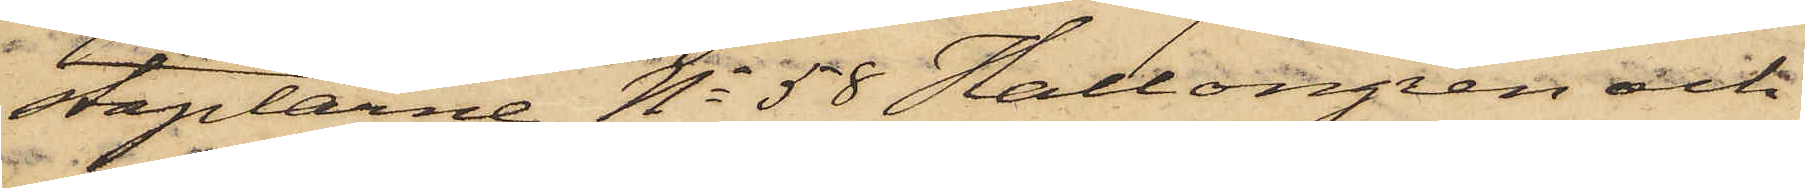staplarne No 58 Hallongren och
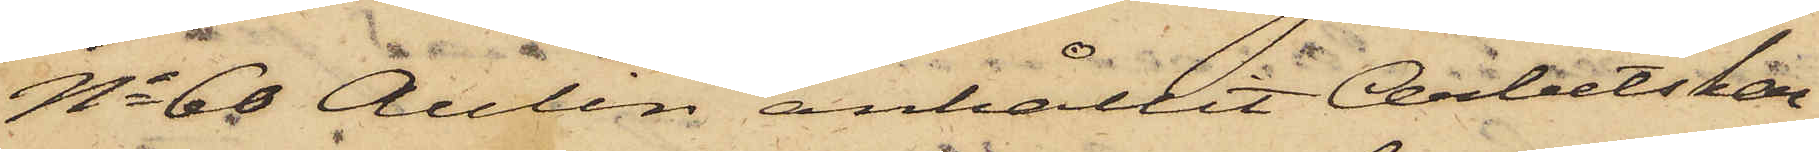No 68 Aulin anhållit Arbetskar¬
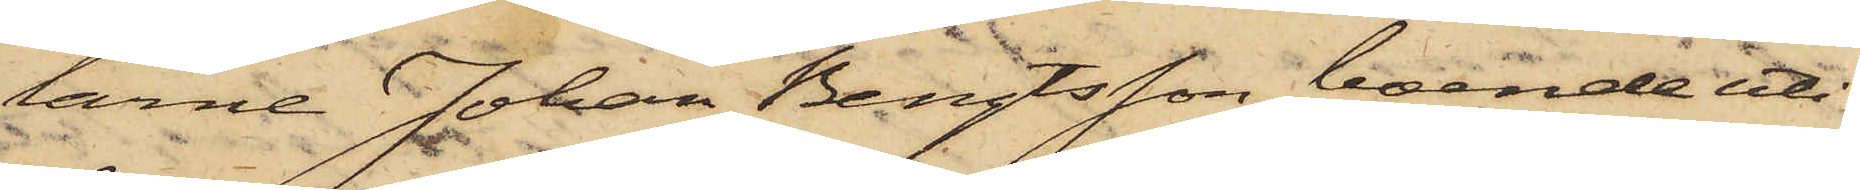larne Johan Bengtsson, boende uti
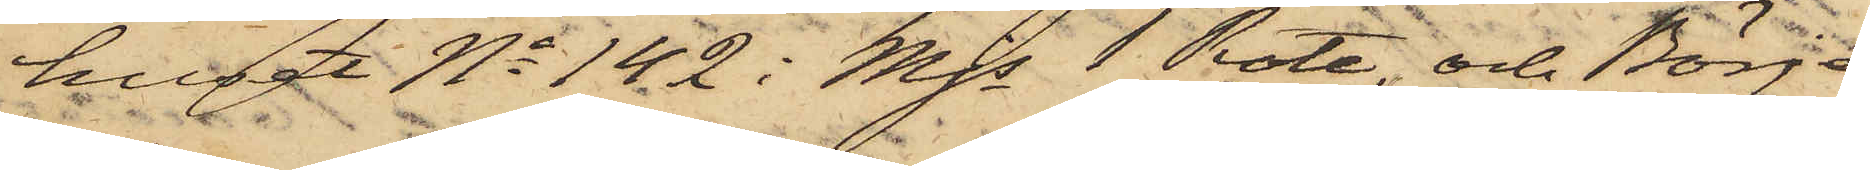huset No 142 i Mjs 1 Rote, och Börje
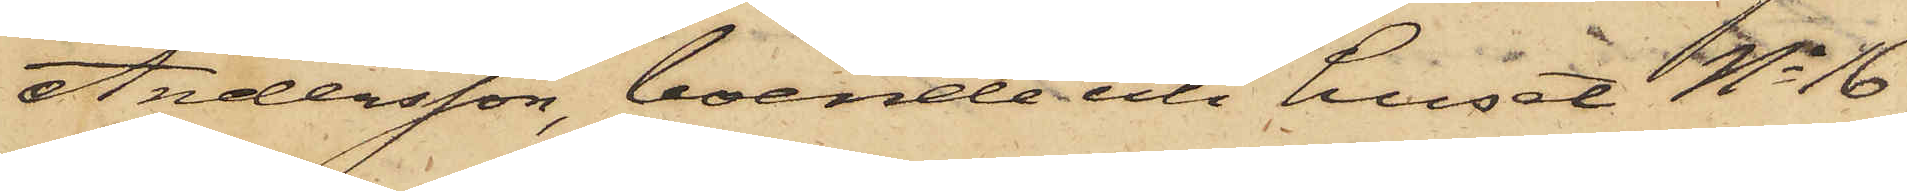Andersson, boende uti huset No 16
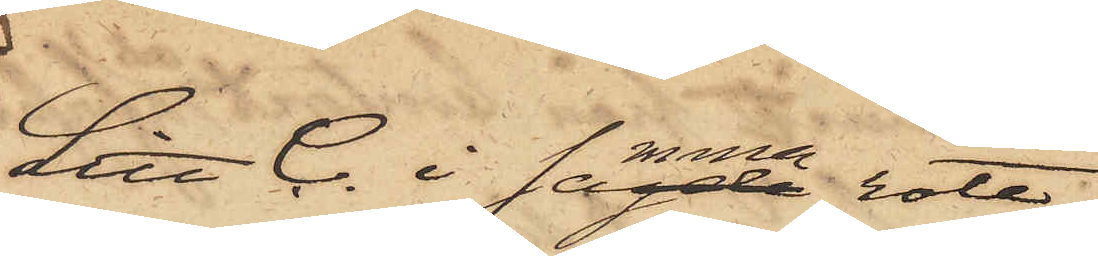Litt C. i samma rote,
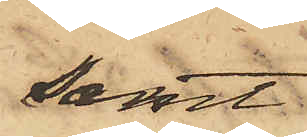samt
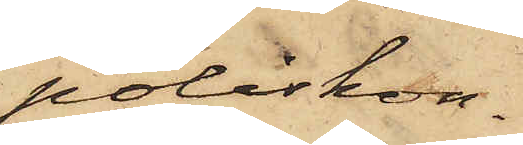poliskon¬
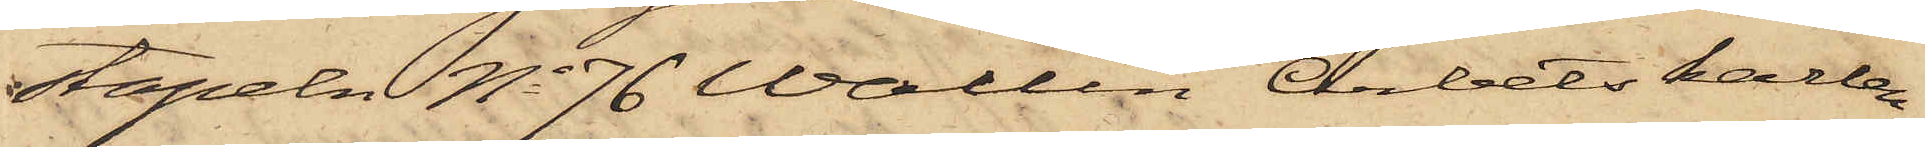stapeln No 76 Wallin Arbetskarlen
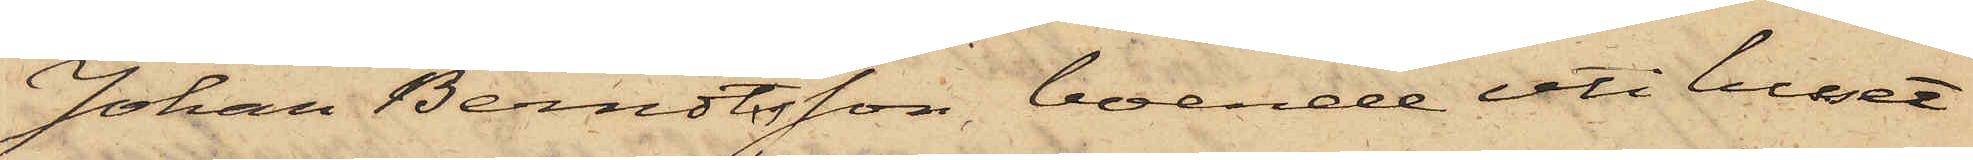Johan Berndtsson boende uti huset
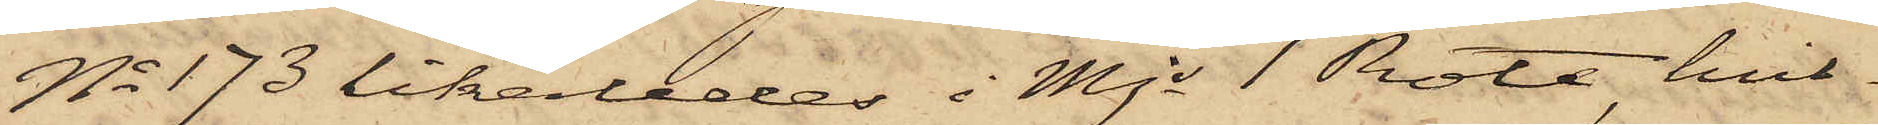No 173 likaledes i Mjs 1 Rote, hvil¬
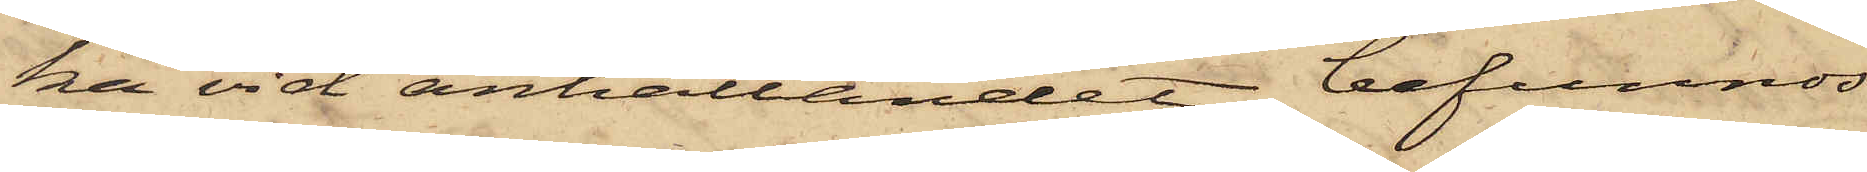ka vid anhållandet befunnos
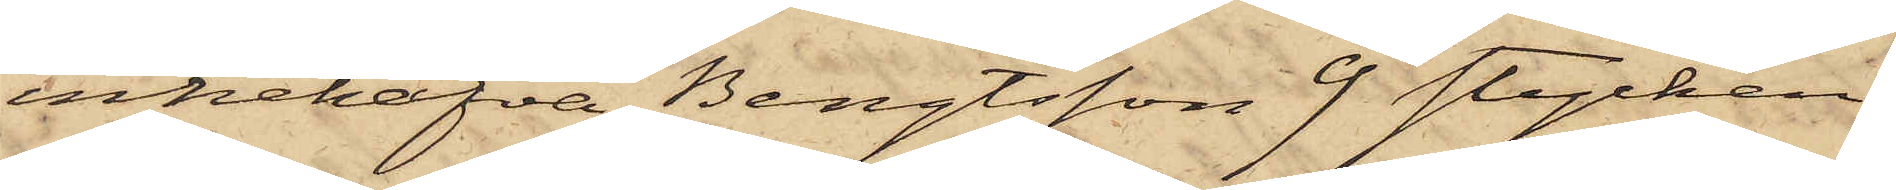innehafva Bengtsson 9 stycken,
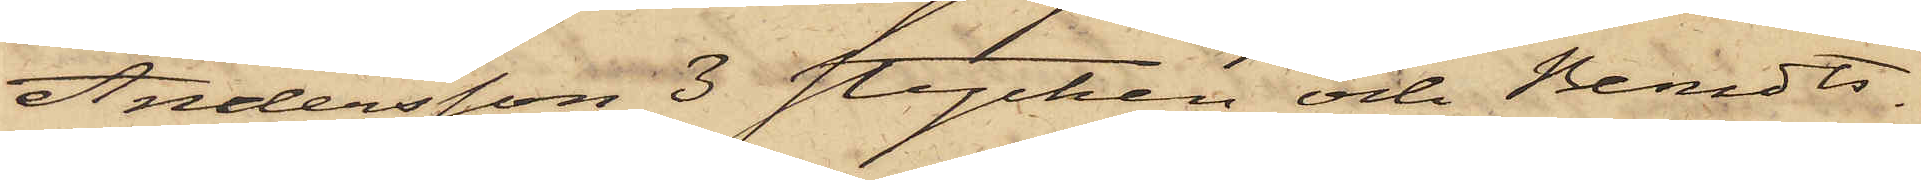Andersson 3 stycken och Berndts¬
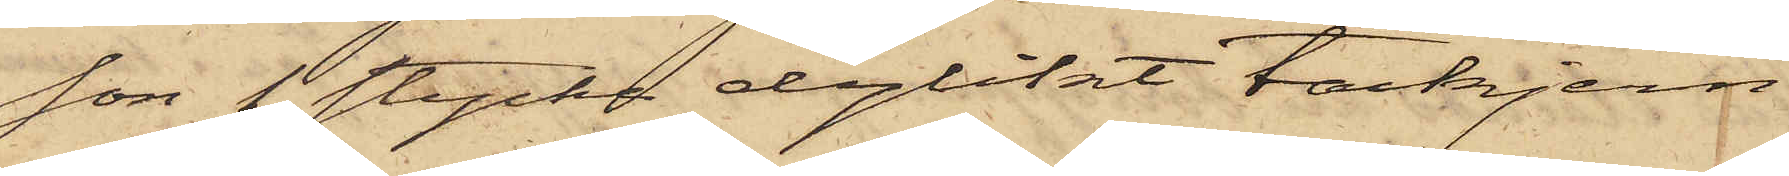son 1 stycke dylikt tackjern.
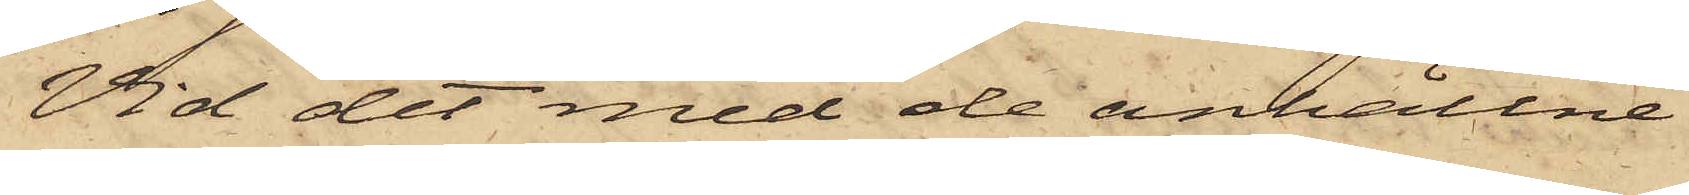Vid det med de anhållne
